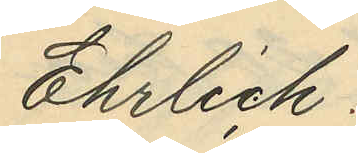Ehrlich.
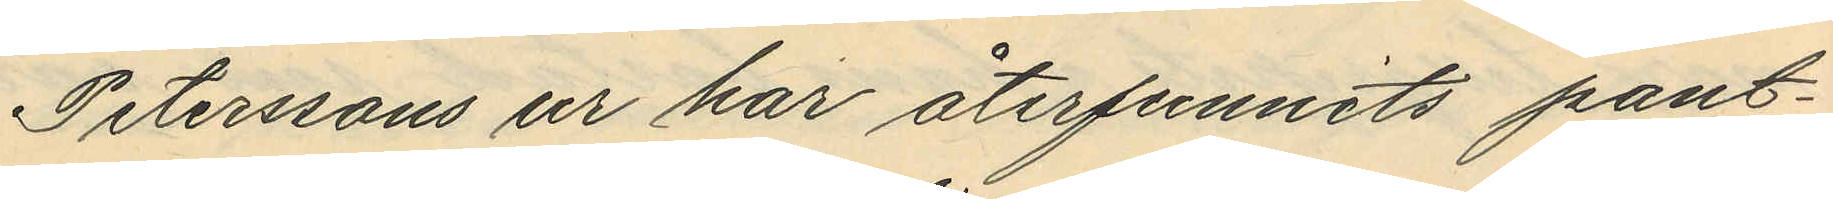Peterssons ur har återfunnits pant¬
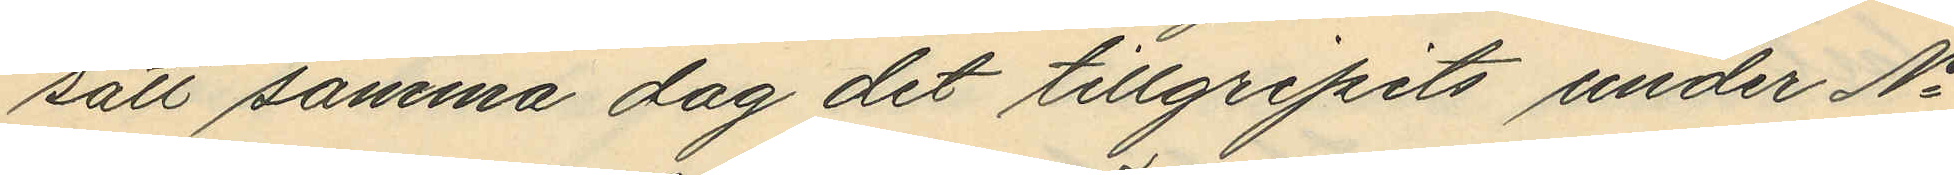sätt samma dag det tillgripits under No
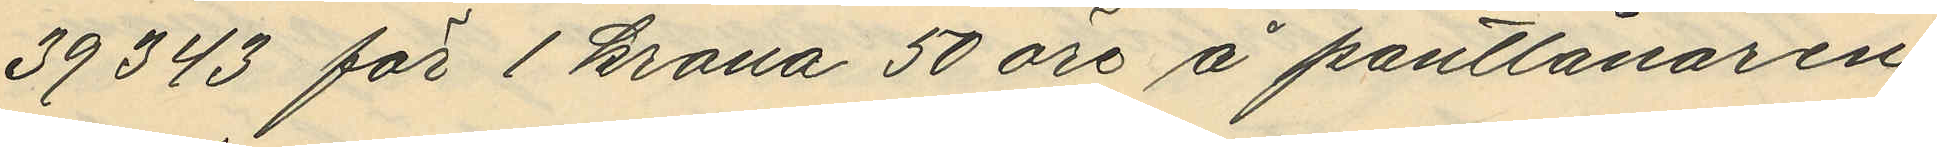39343 för 1 krona 50 öre å pantlånaren
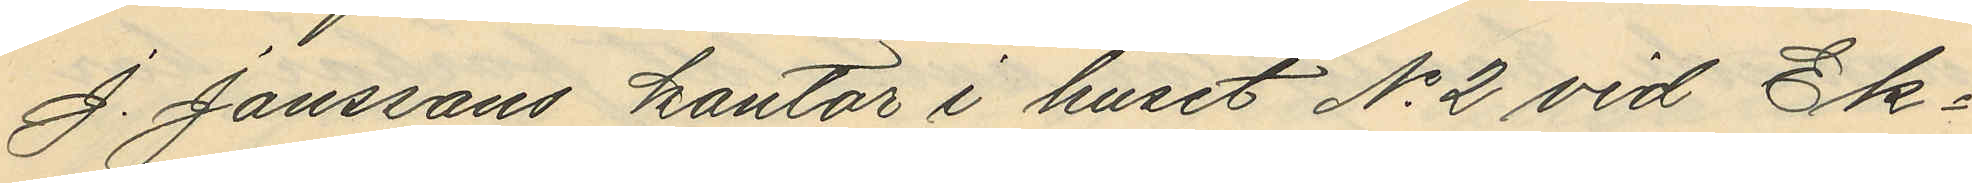J. Janssons kontor i huset No 2 vid Ek¬
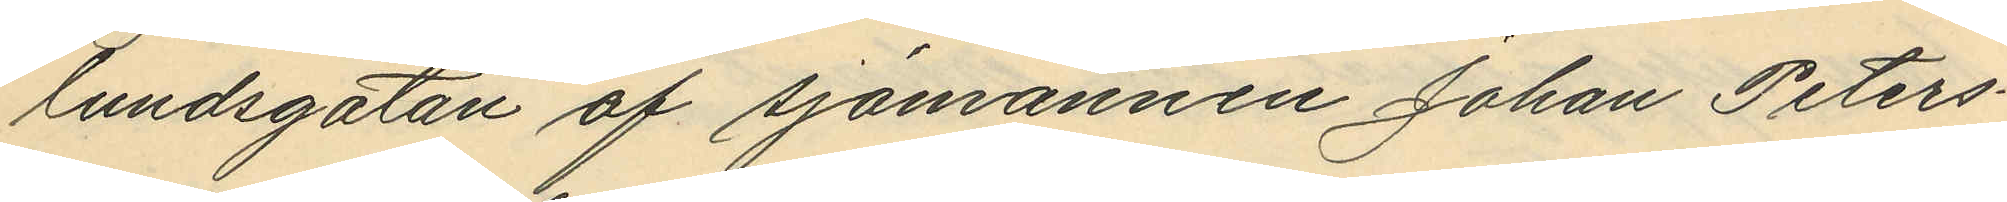lundsgatan af sjömannen Johan Peters¬
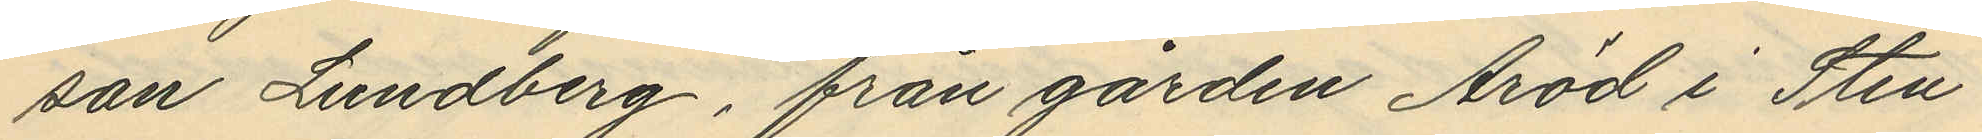son Lundberg, från gården Aröd i Sten
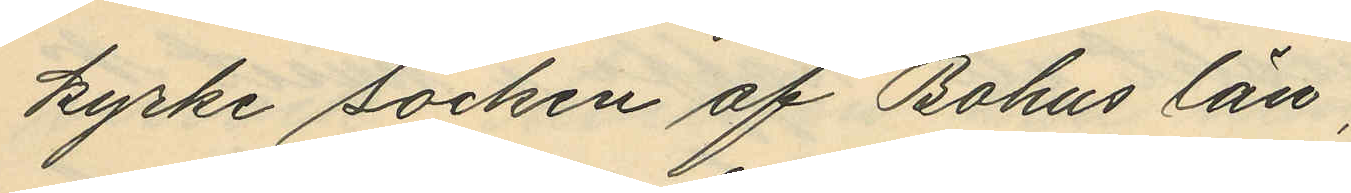kyrke socken af Bohus län,
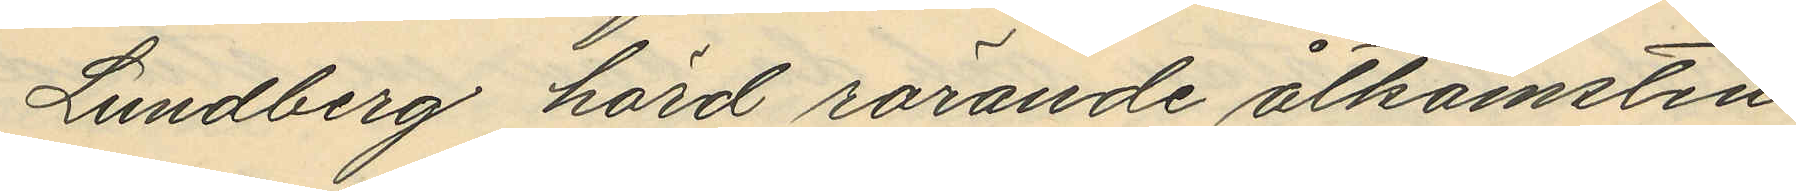Lundberg hörd rörande åtkomsten
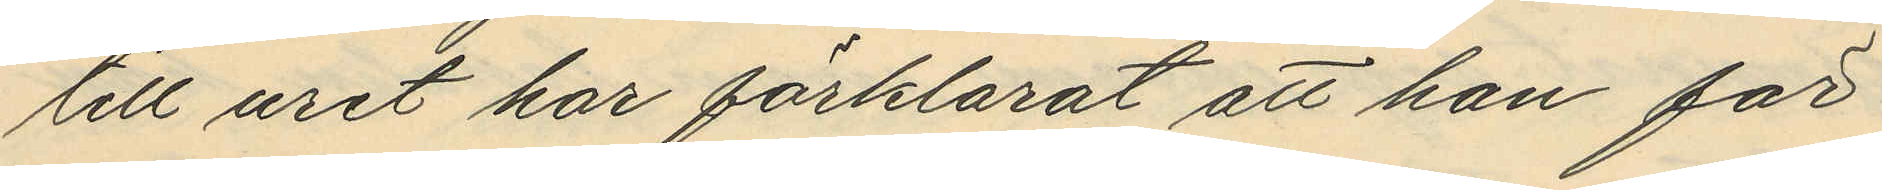till uret har förklarat att han för
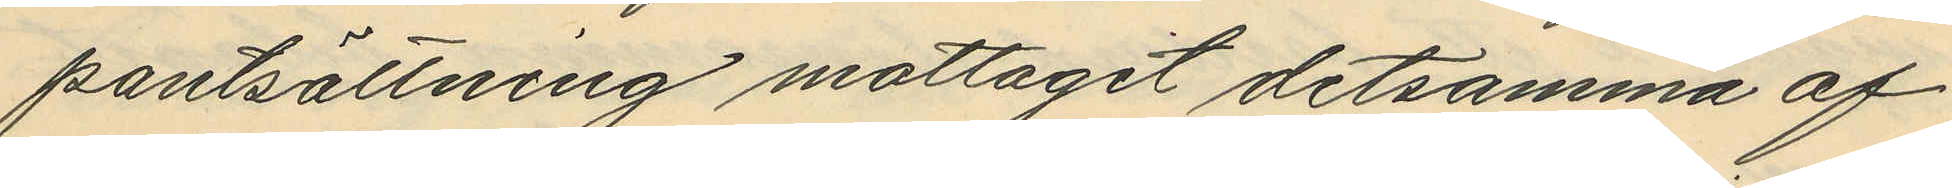pantsättning mottagit detsamma af
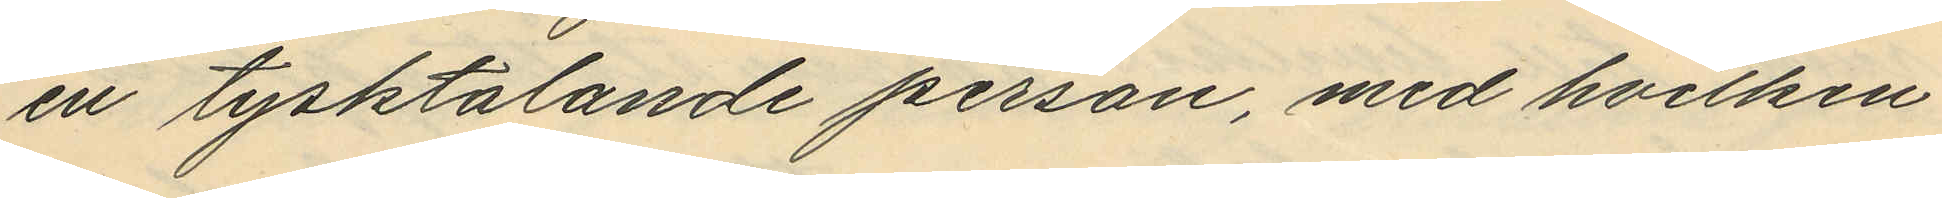en tysktalande person, med hvilken
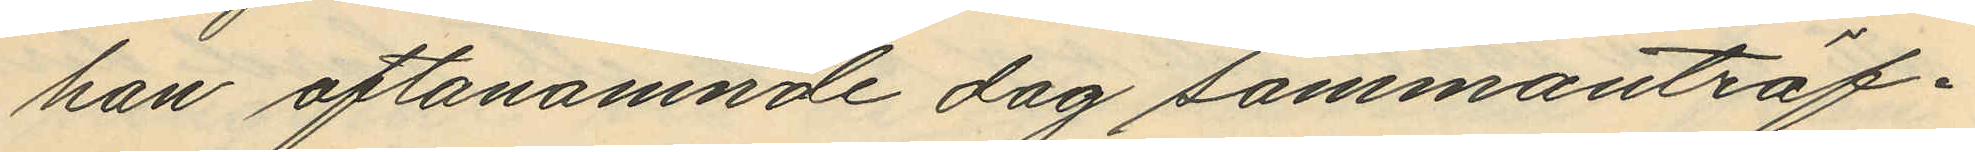han oftanämnde dag sammanträf¬
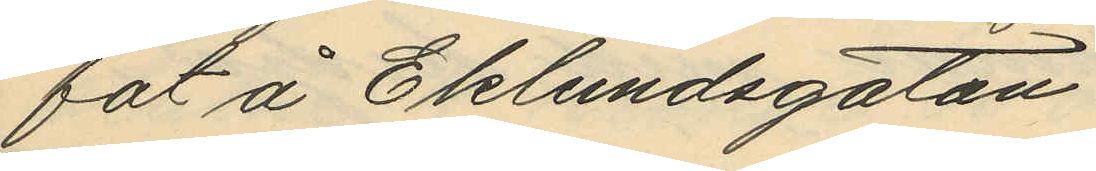fat å Eklundsgatan.
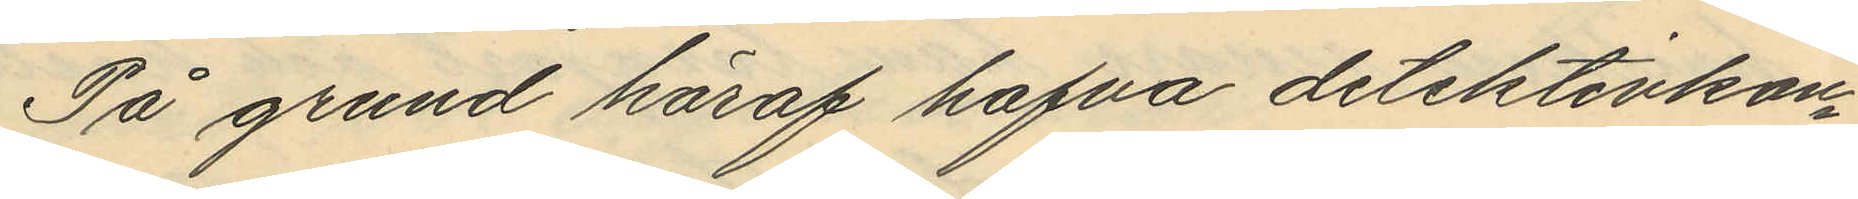På grund häraf hafva detektivkon¬
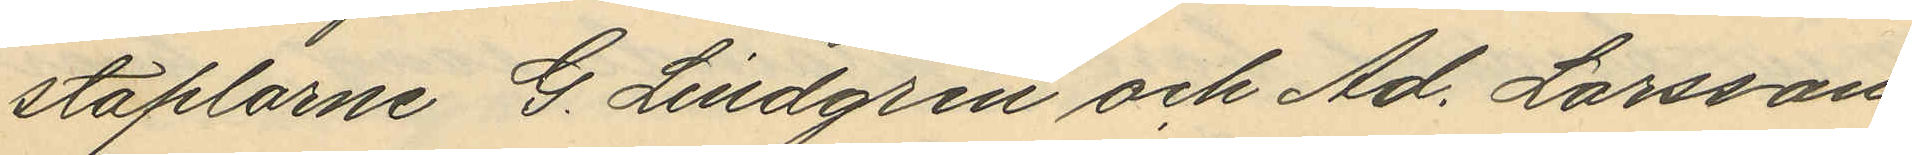staplarne G. Lindgren och Ad. Larsson
